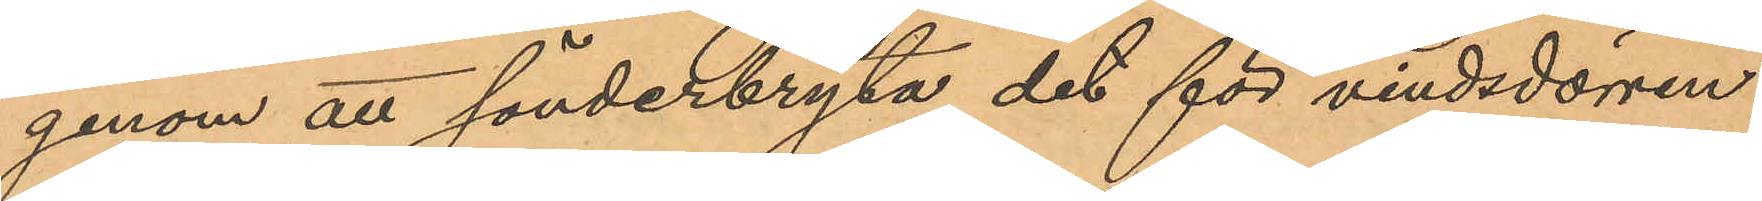genom att sönderbryta det för vindsdörren
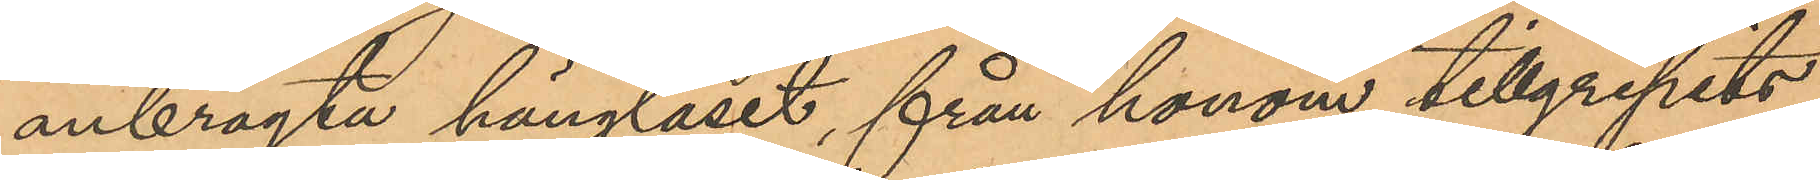anbragta hänglåset, från honom tillgripits
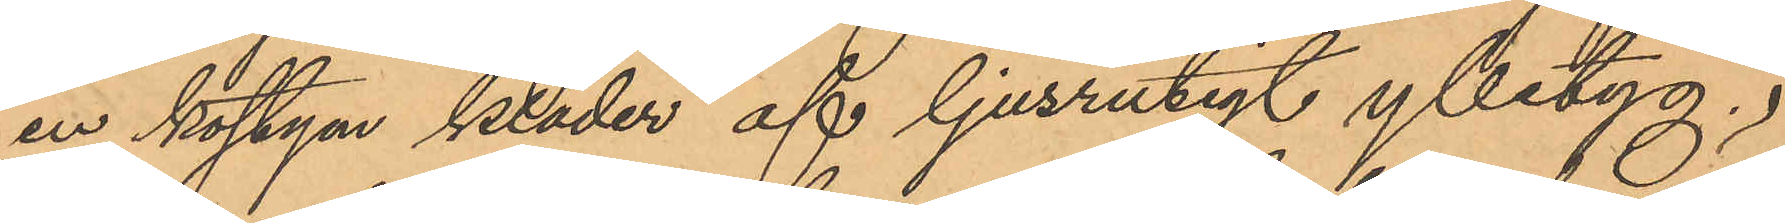en kostym kläder af ljusrutigt ylletyg,
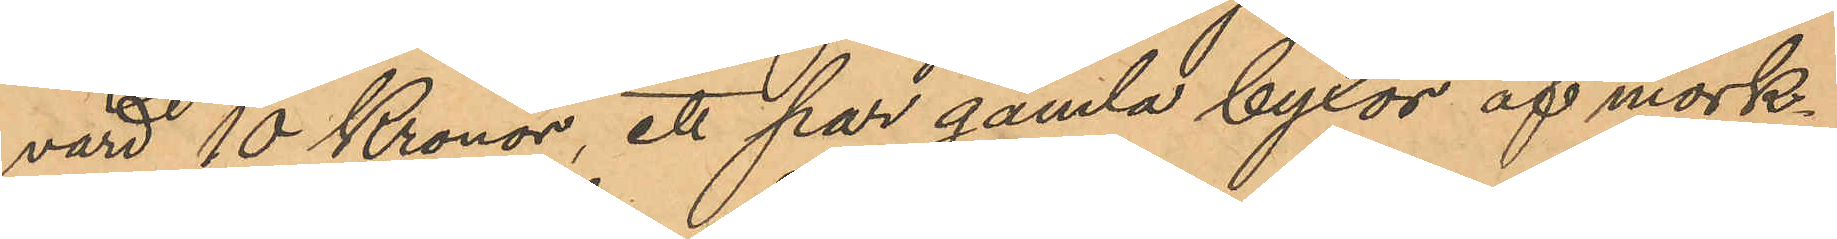värd 10 Kronor, ett par gamla byxor af mörk¬
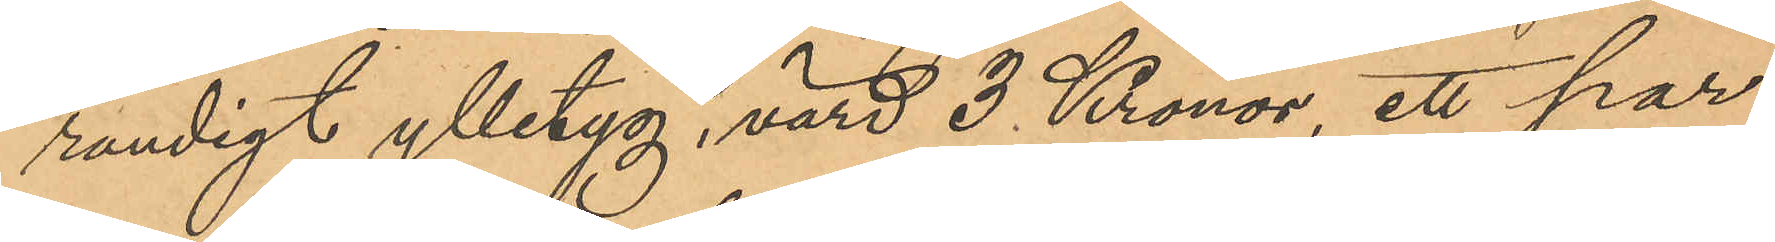randigt ylletyg, värd 3 Kronor, ett par
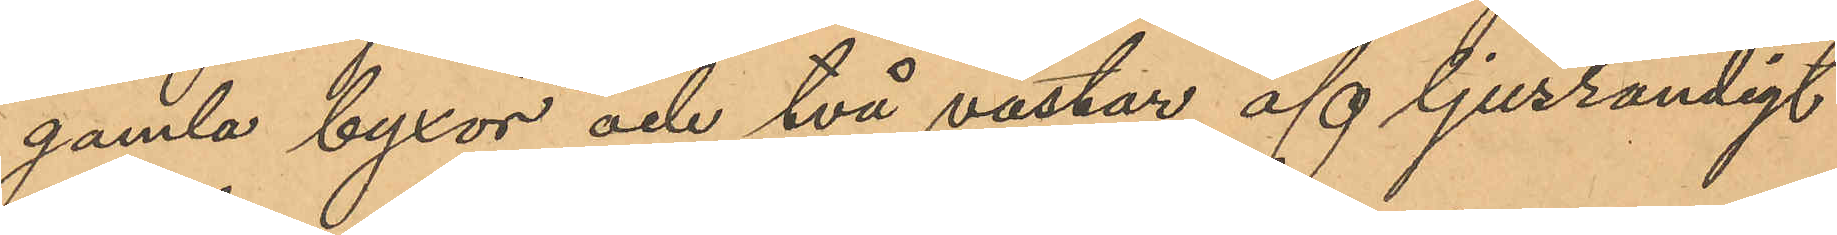gamla byxor och två västar af ljusrandigt
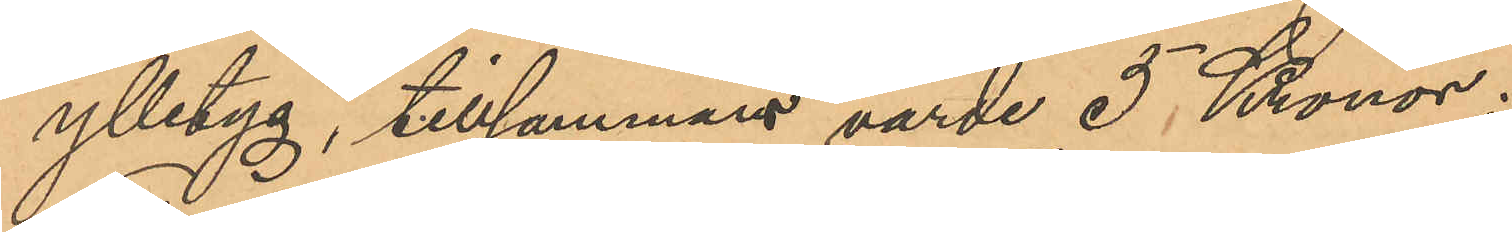ylletyg, tillsammans värde 5 Kronor.
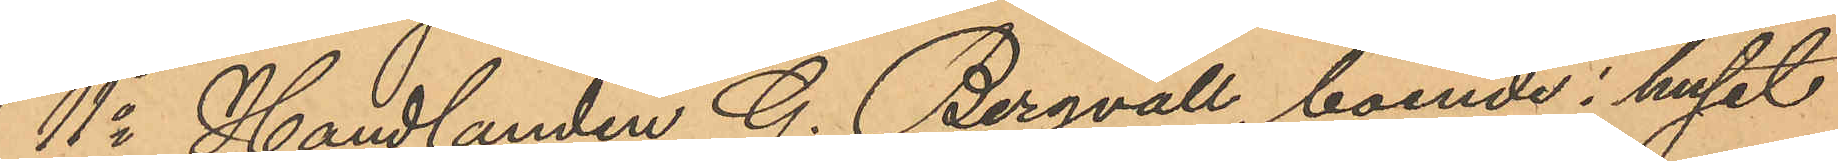11o Handlanden G. Bergvall, boende i huset
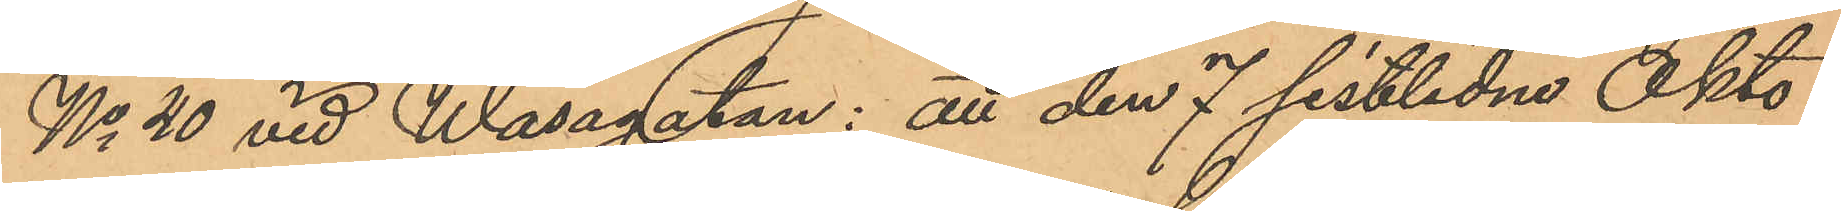No 20 vid Wasagatan: att den 7 sistlidne Okto¬
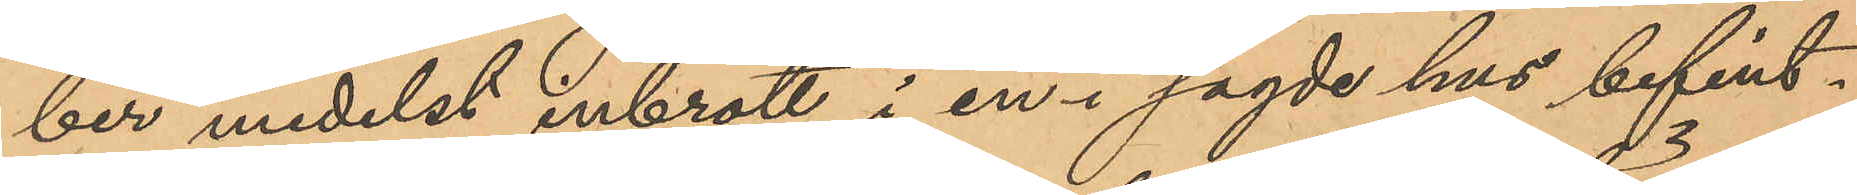ber medelst inbrott i en i sagde hus befint¬
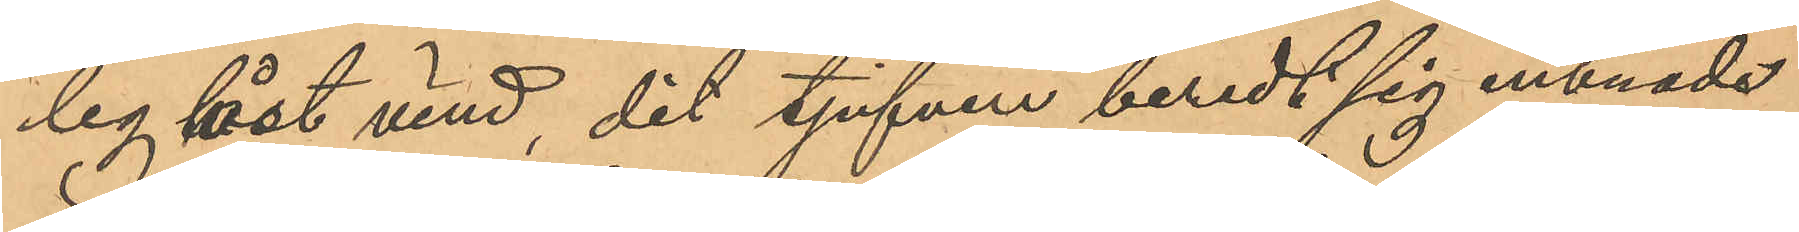lig låst vind, dit tjufven beredt sig inträde
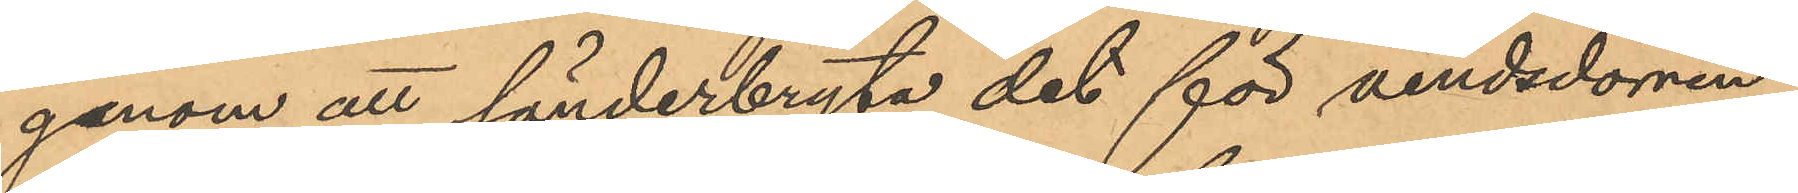genom att sönderbryta det för vindsdörren
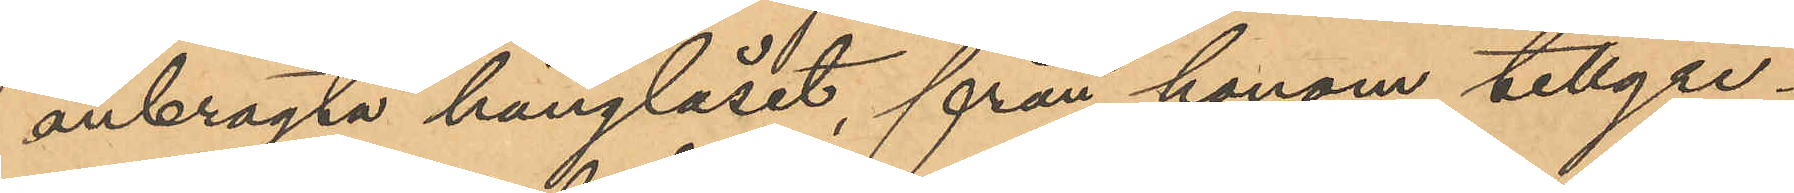anbragta hänglåset, från honom tillgri¬
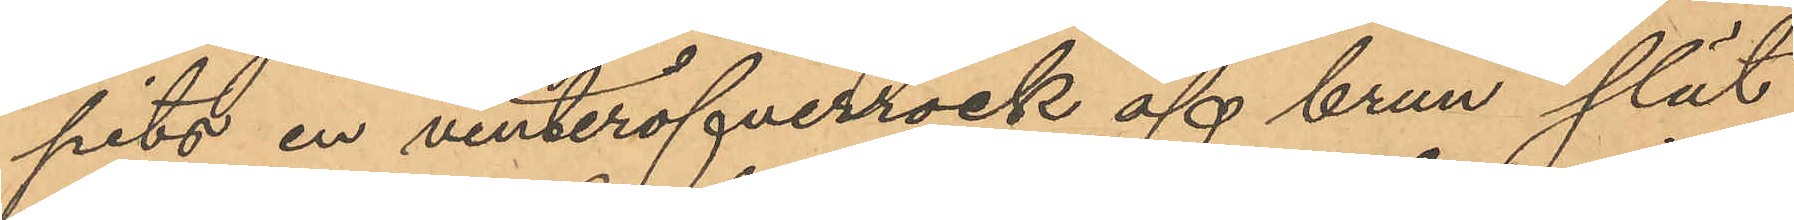pits en vinteröfverrock af brun slät
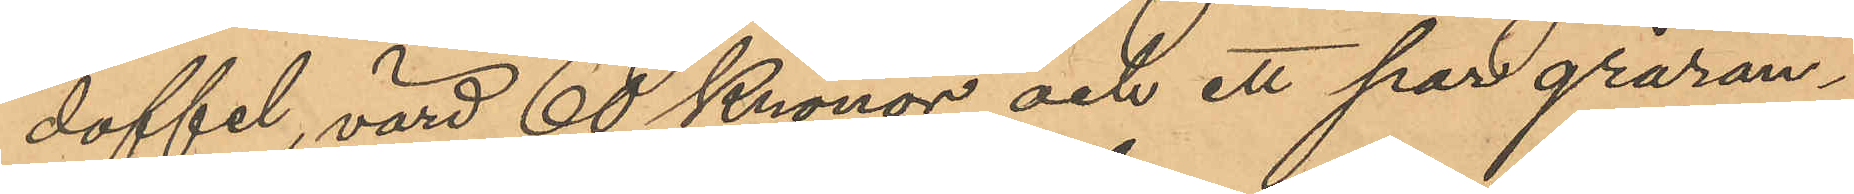doffel, värd 60 Kronor och ett par gråran¬
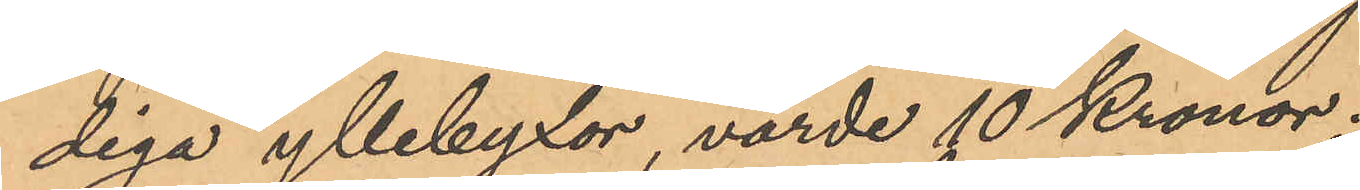diga yllebyxor, värde 10 Kronor;
